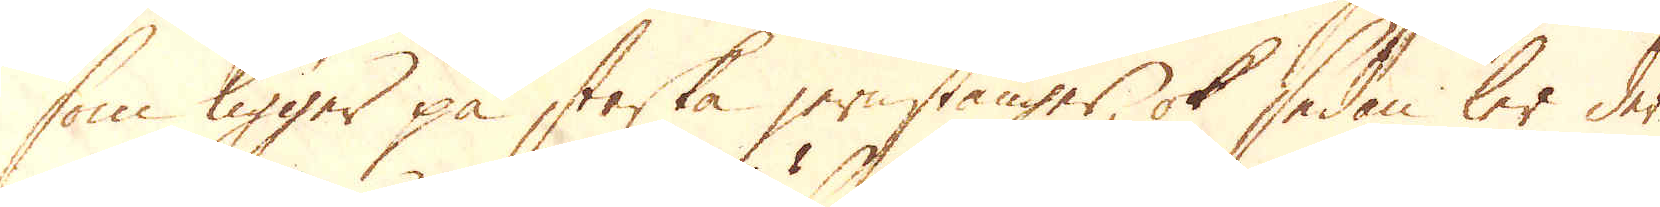som ligger på starka jernstänger, ok sedan ler der-
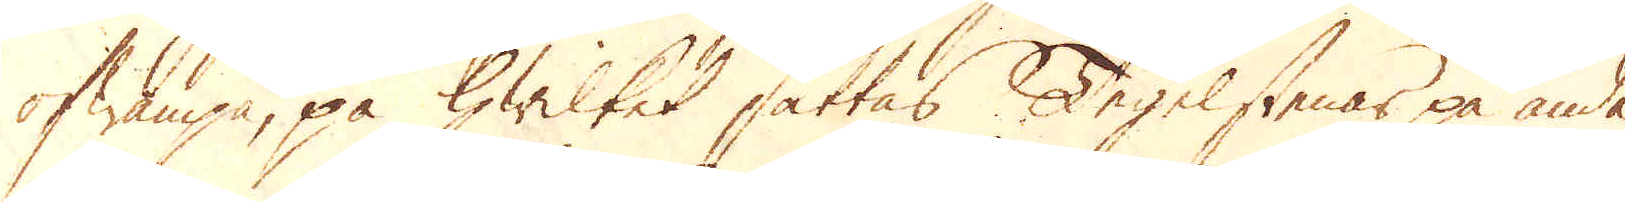ofwanpå, på hwilket sättas, Tegelstenar på ända
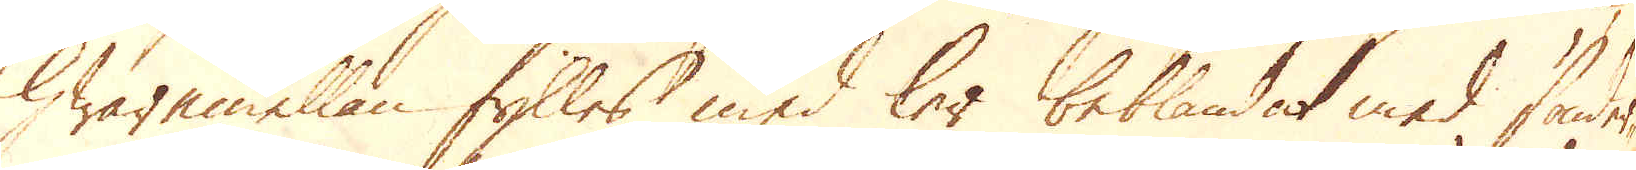hwaremellan fylles med ler beblandat med sönder-
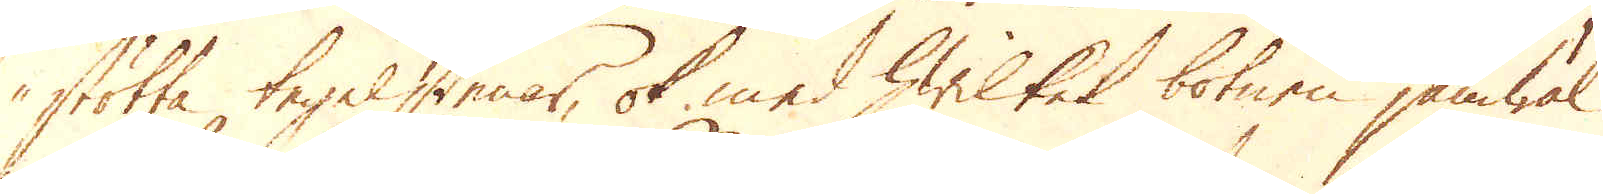stötta tegelstenar, ok med hwilket botnen jämwäl
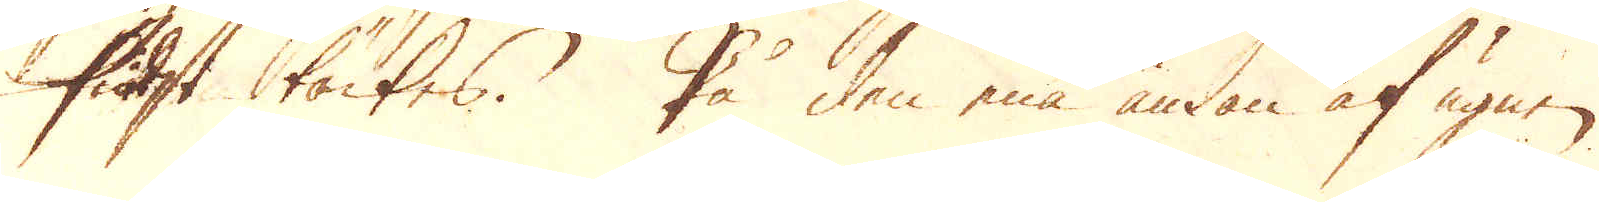sidst täckes. På den ena ändan af ugnen.
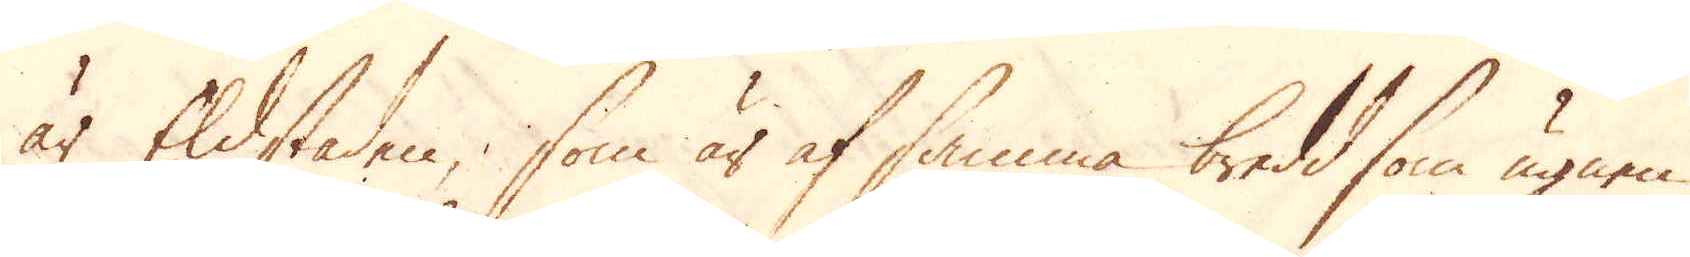är Eldstaden, som är af samma bredd som ugnen
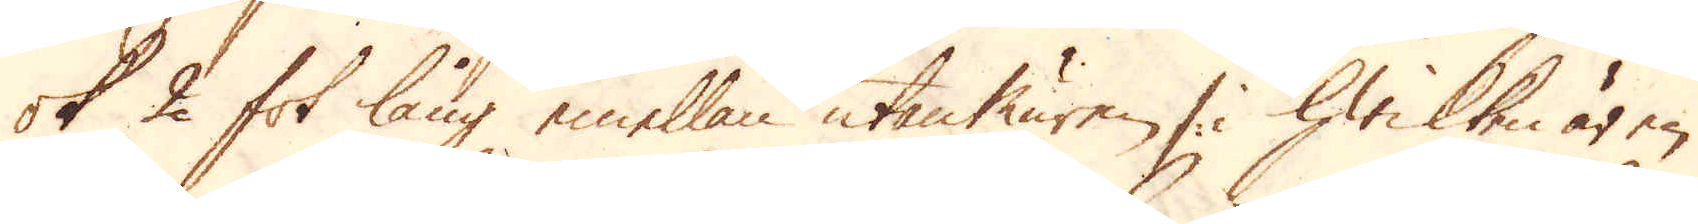ok 2 fot lång emellan utanthuren i hwilken är en
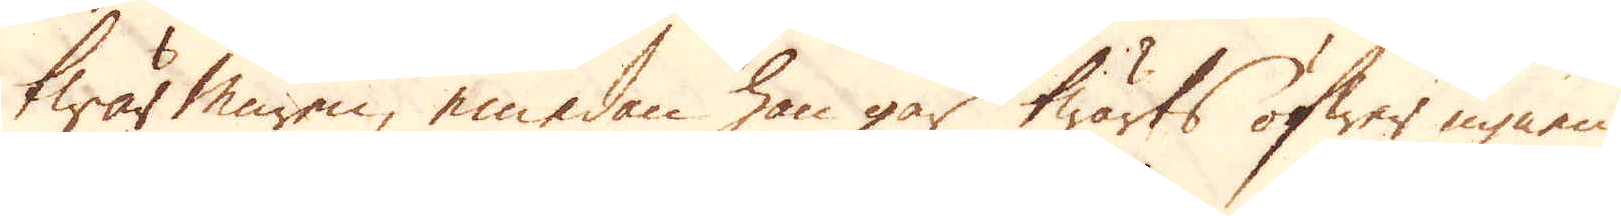twär muren, emedan han går twärts öfwer ugnen
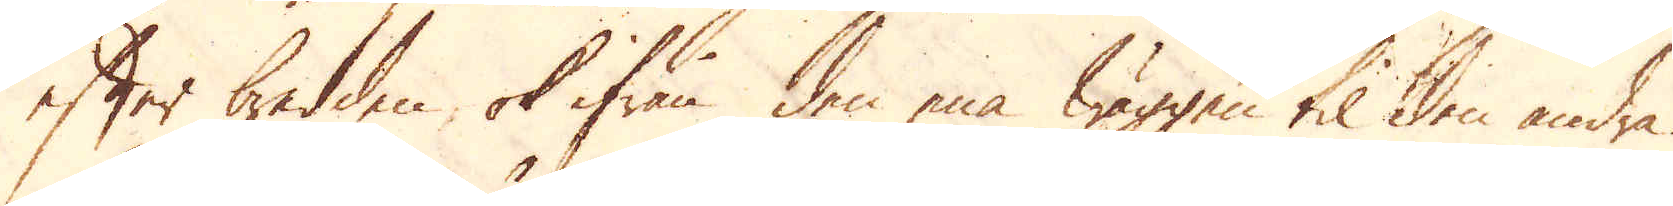efter bredden ok ifrån den ena wäggen til den andra.
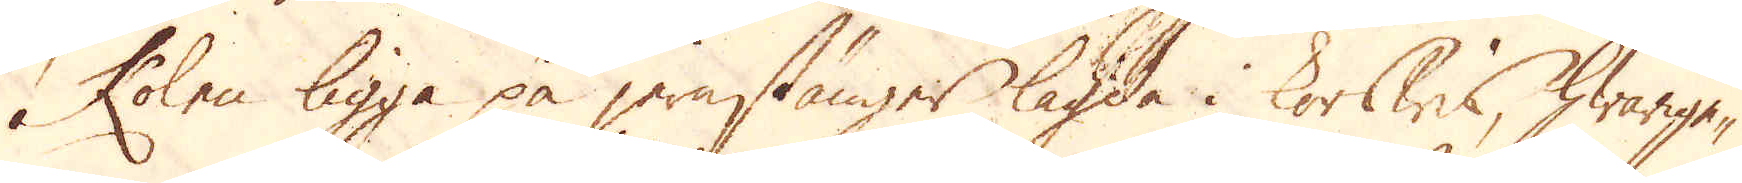Kolen ligga på jernstänger lagda i korswis, hwarige-
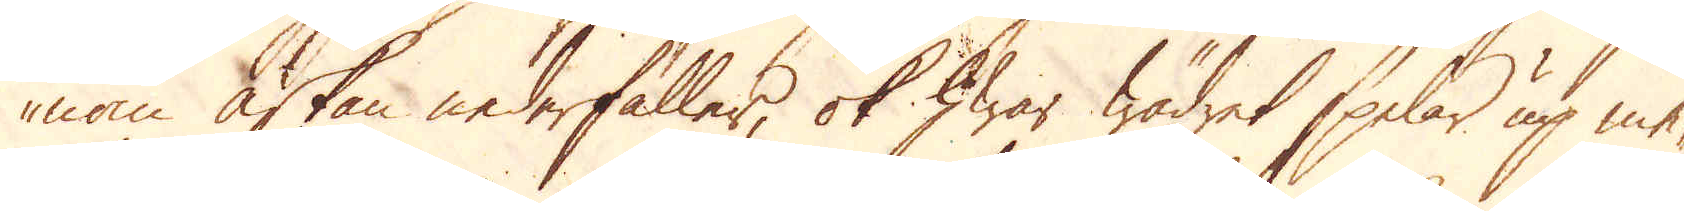nom askan nederfaller, ok hwar wädret spelar up me-
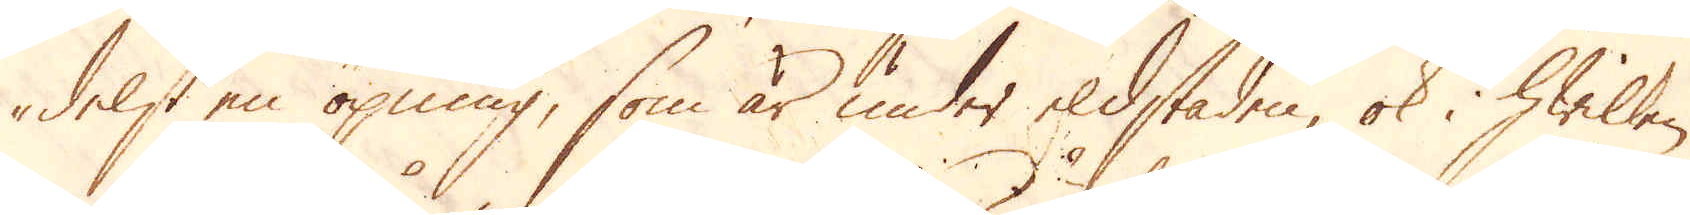delst en öpning, som är under eldstaden, ok i hwilken
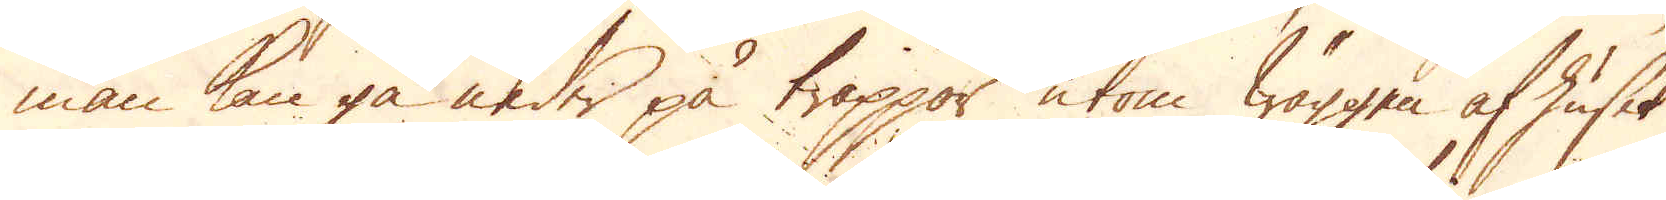man kan gå neder på trappor utom wäggen af huset
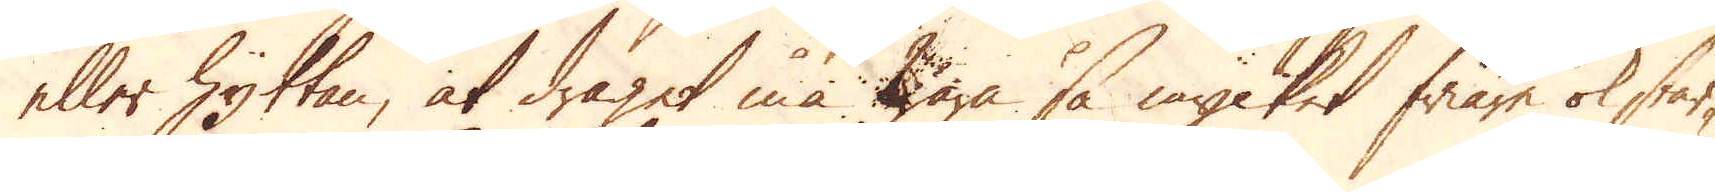eller hyttan, at draget må wara så mycket friare ok star-
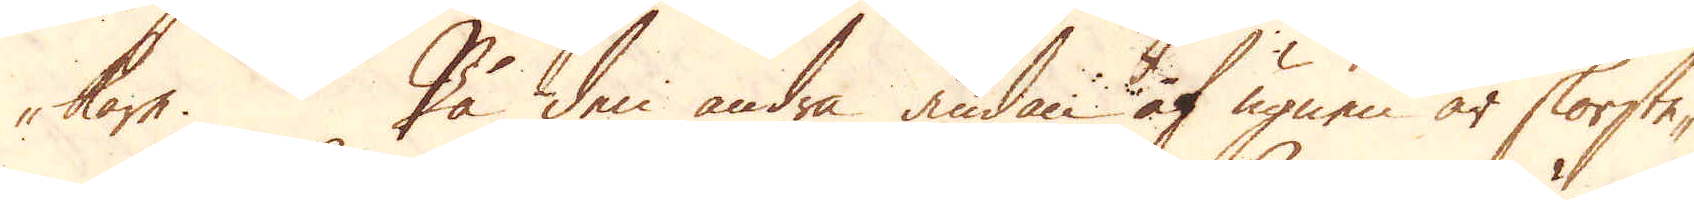kare. På den andra ändan af ugnen är skorste-
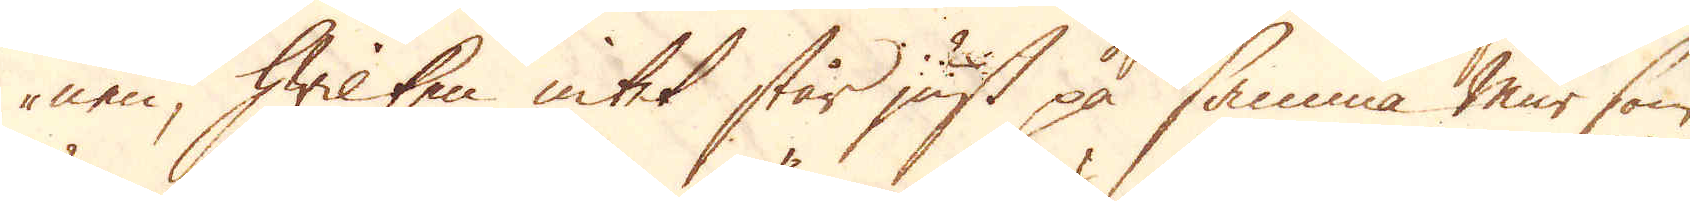nen, hwilken intet står just på samma mur som
